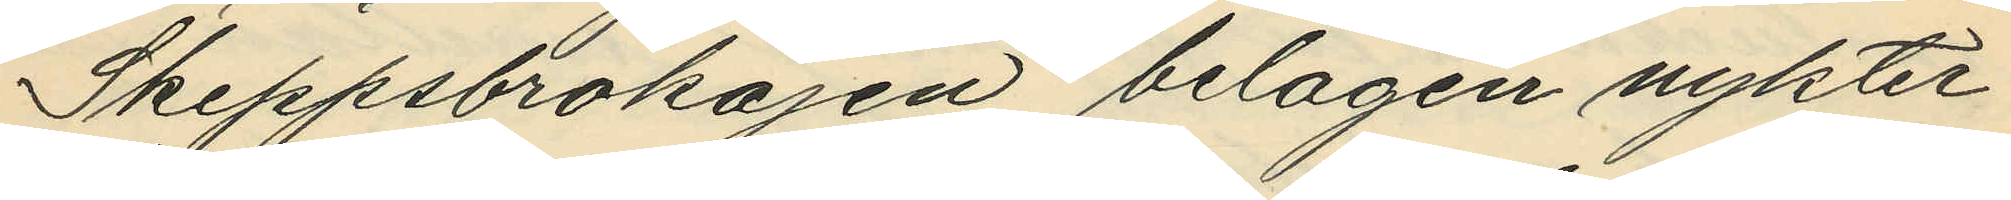Skeppsbrokajen belägen nykter¬
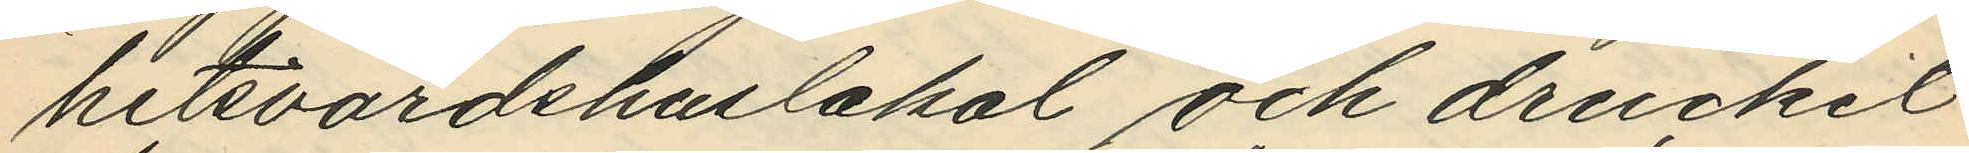hetsvärdshuslokal och druckit
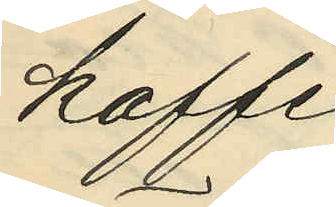kaffe;
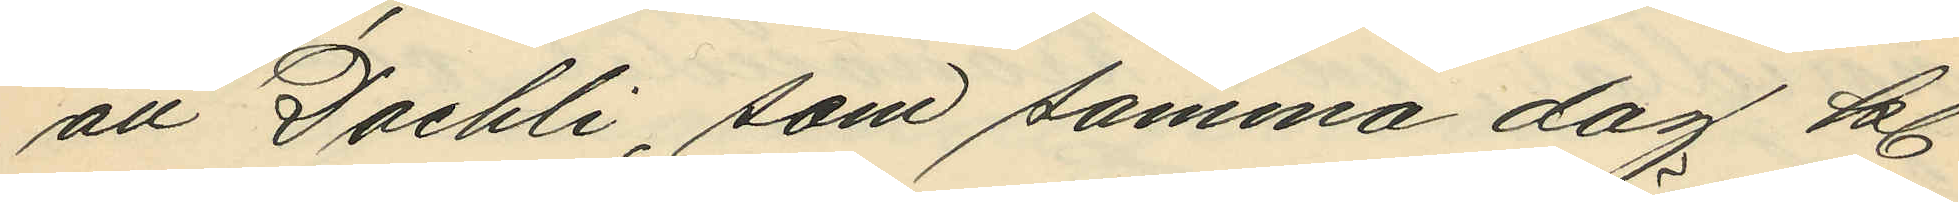att Daehli, som samma dag kl.
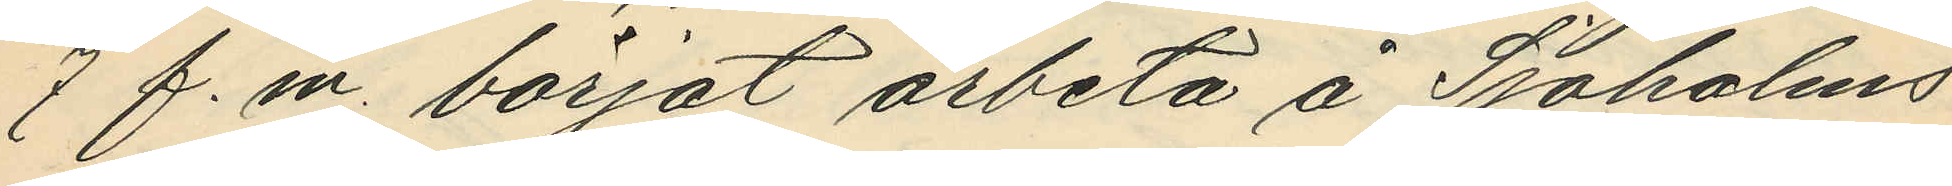7 f. m. börjat arbeta å Sjöholms
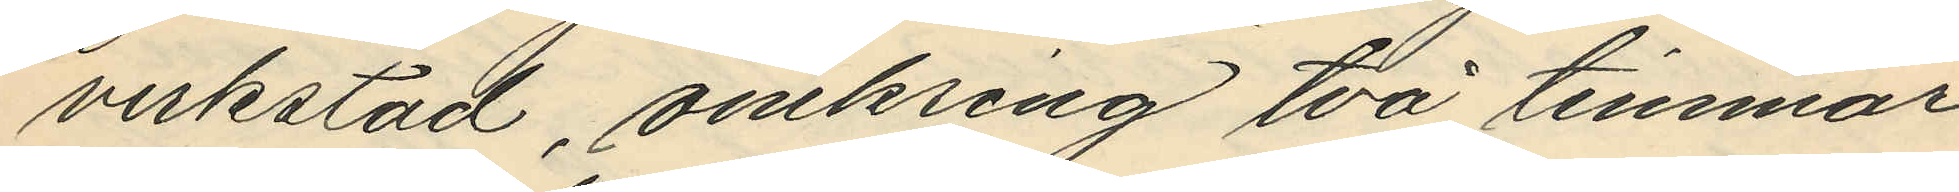verkstad, omkring två timmar
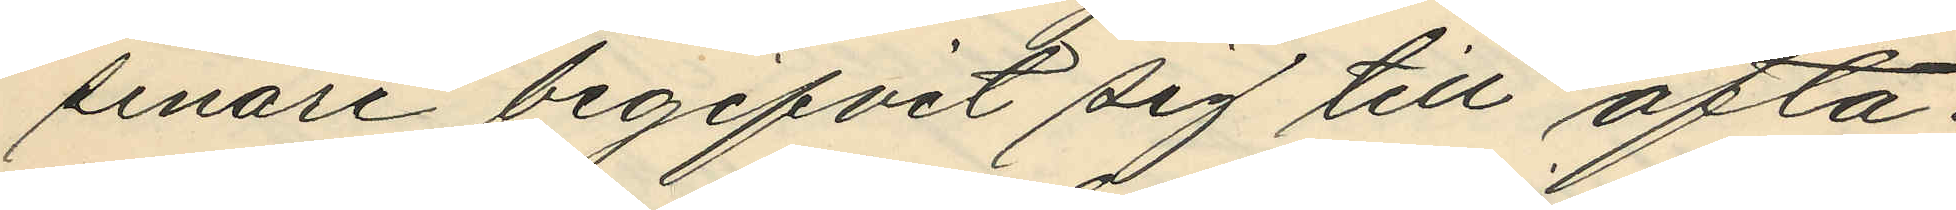senare begifvit sig till ofta¬
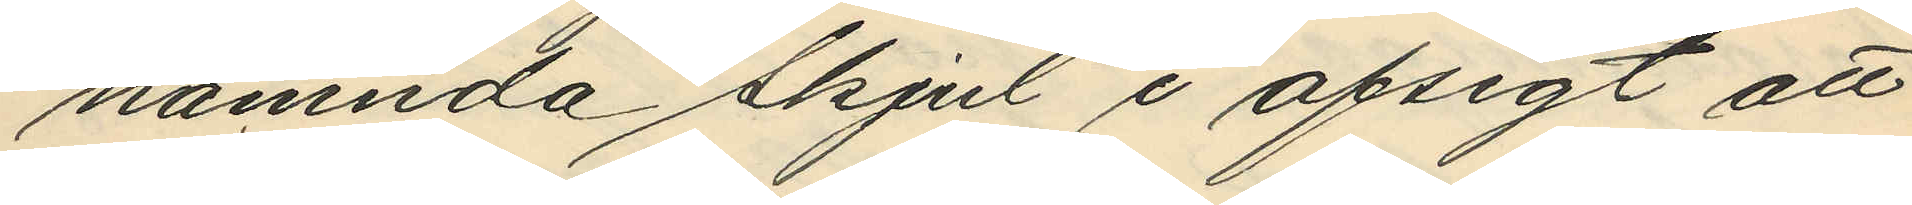nämnda skjul i afsigt att
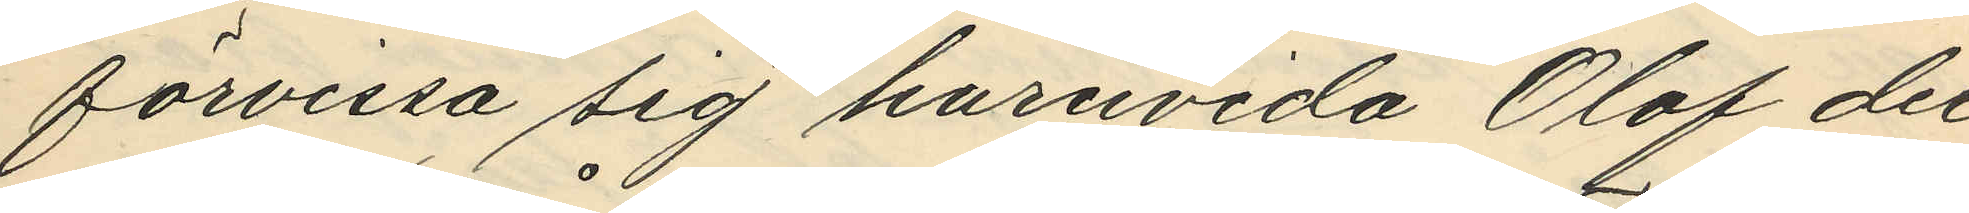förvissa sig huruvida Olof der
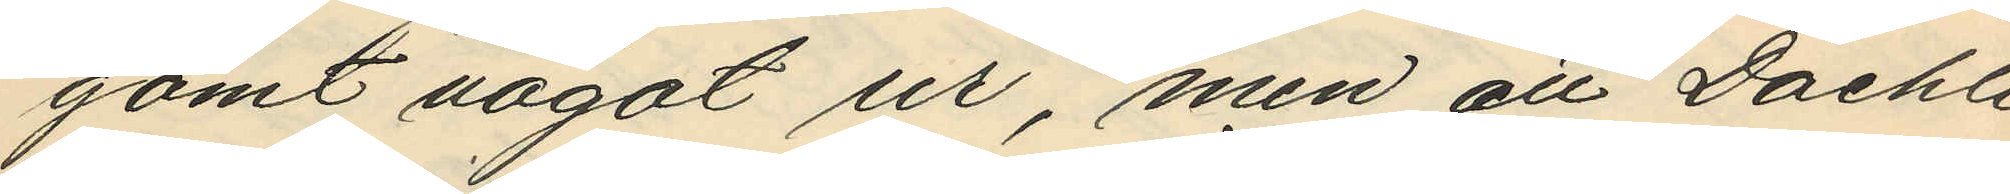gömt något ur, men att Daehli
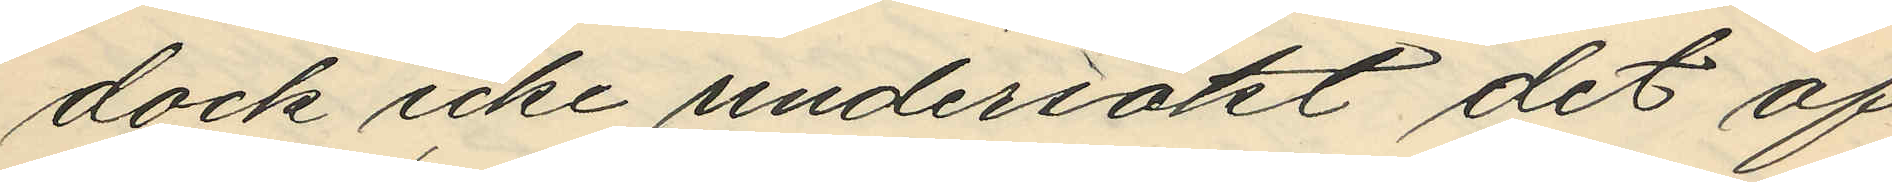dock icke undersökt det af
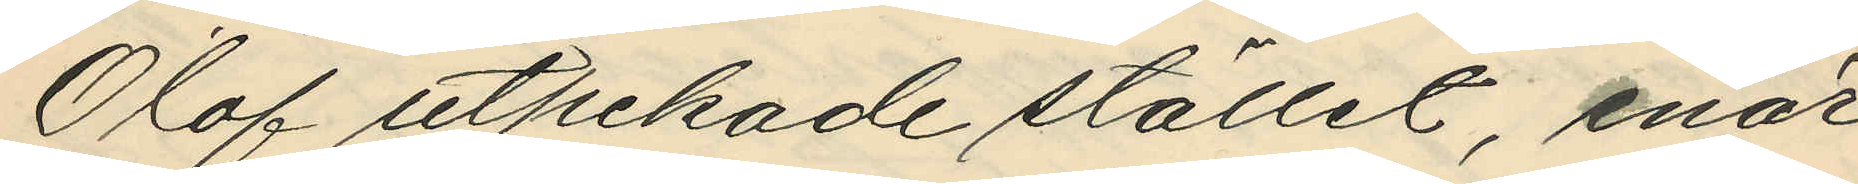Olof utpekade stället, enär
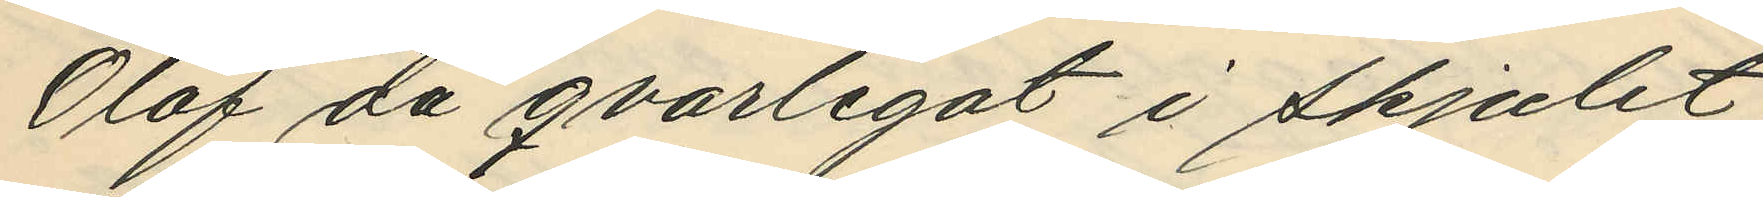Olof då qvarlegat i skjulet;
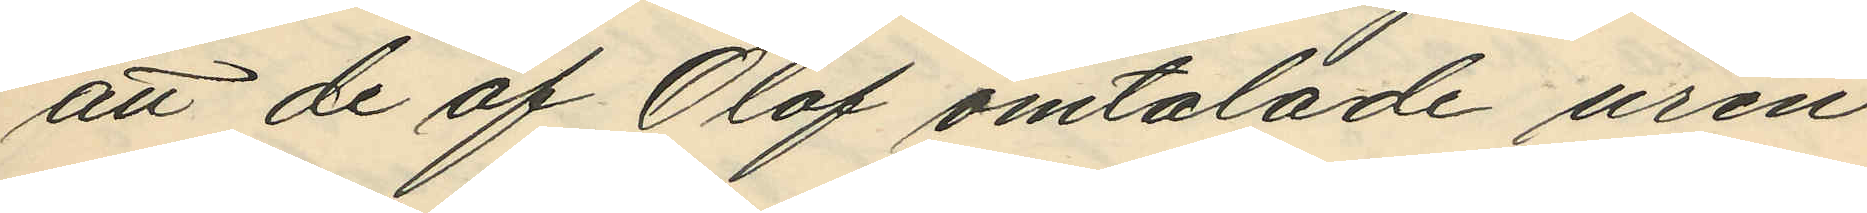att de af Olof omtalade uren
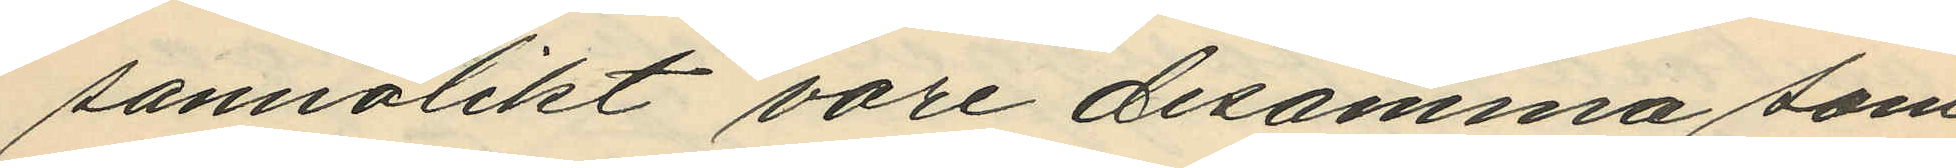sannolikt vore desamma som
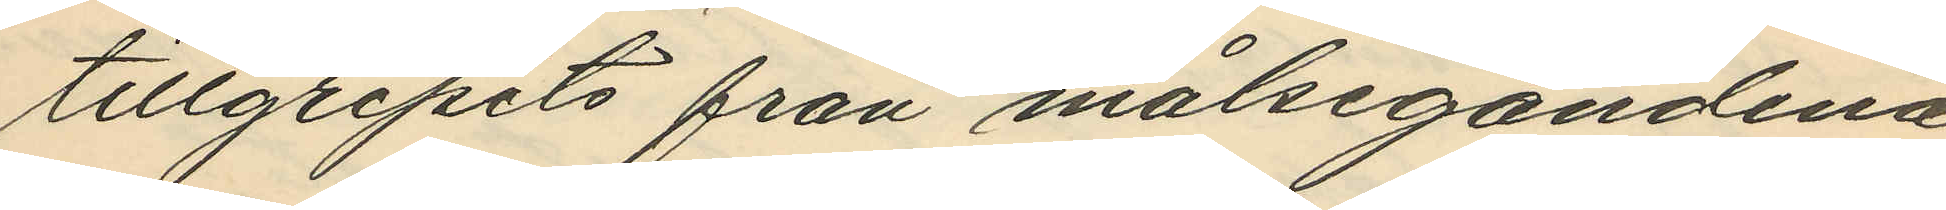tillgripits från målsegandena,
